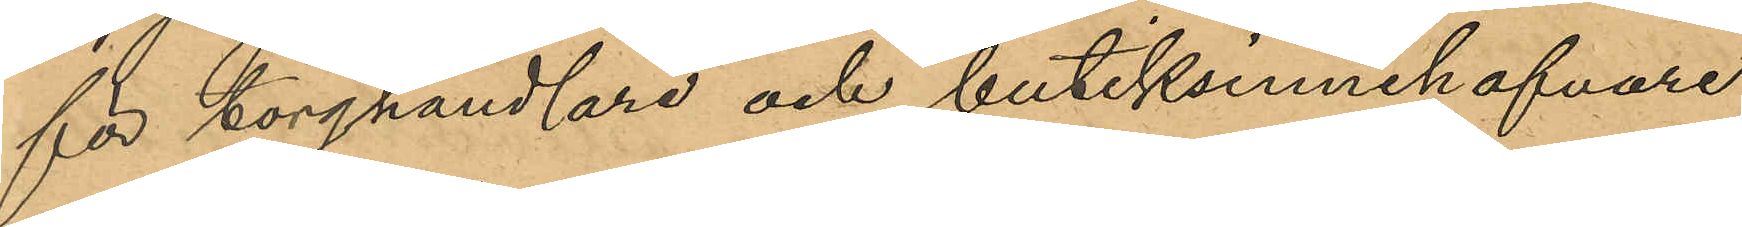för torghandlare och butiksinnehafvare
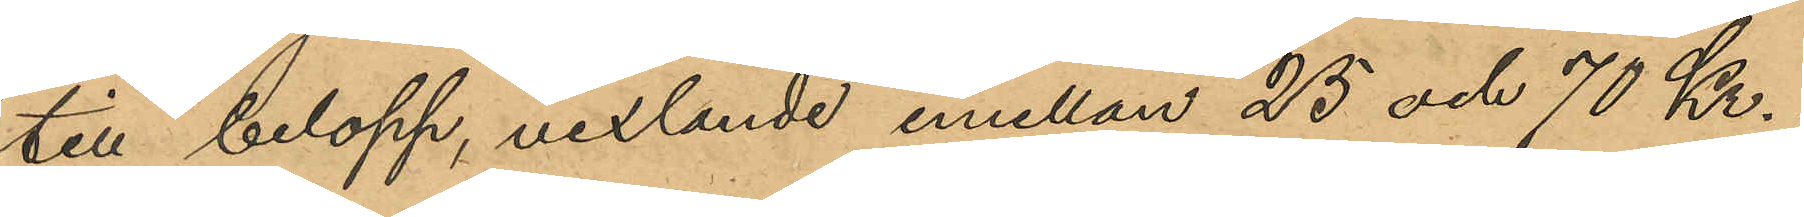till belopp, vexlande emellan 25 och 70 Kr;
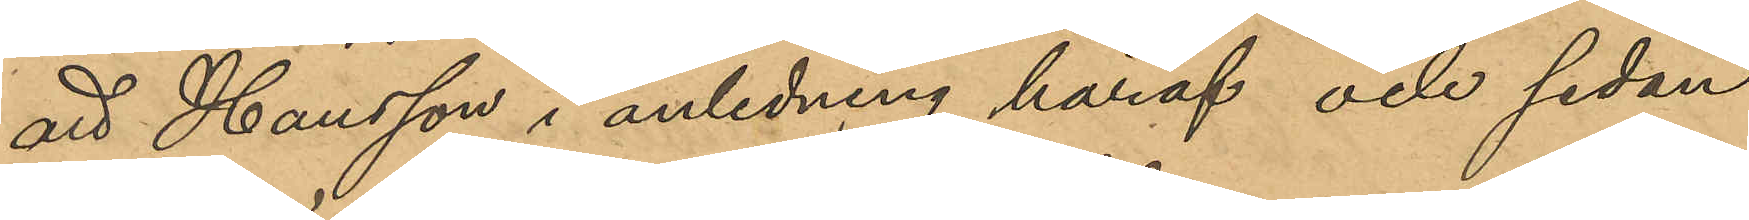att Hansson i anledning häraf och sedan
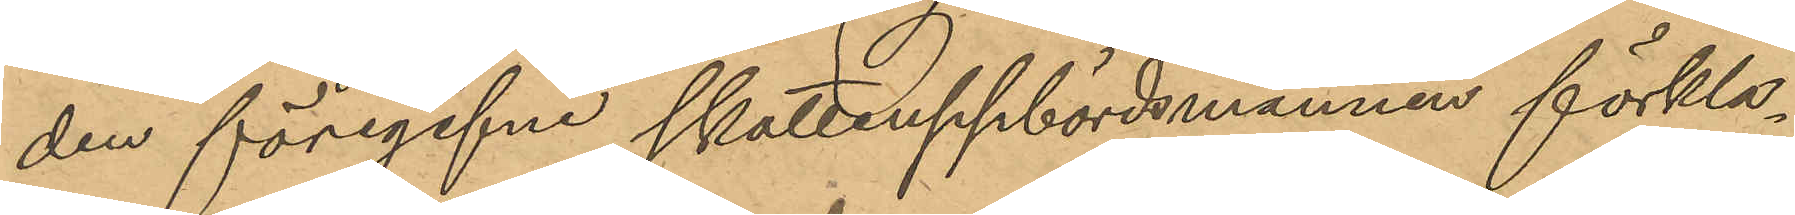den föregifne skatteuppbördsmannen förkla¬
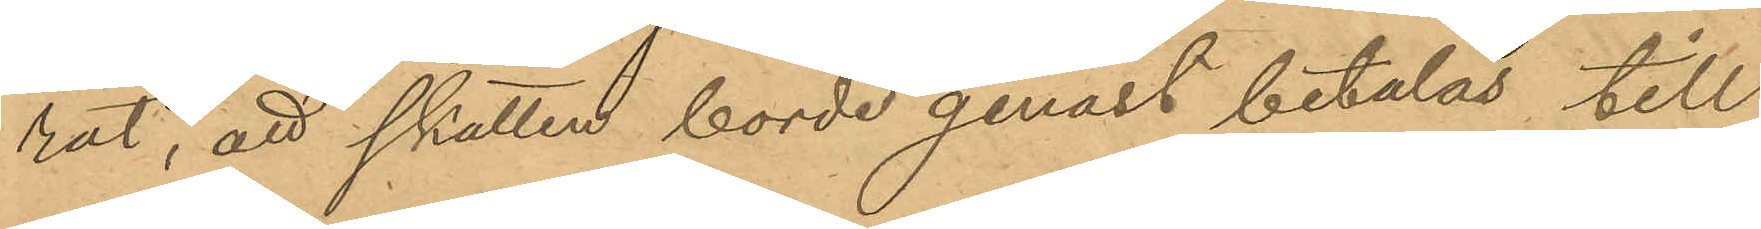rat, att skatten borde genast betalas till
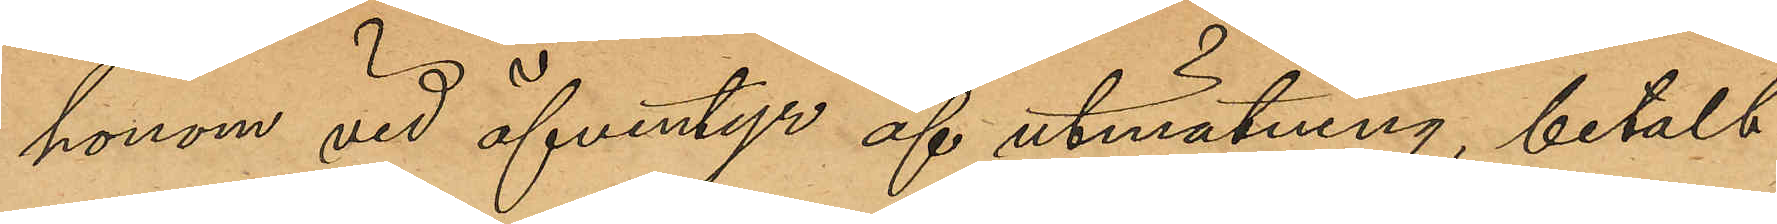honom vid äfventyr af utmätning, betalt
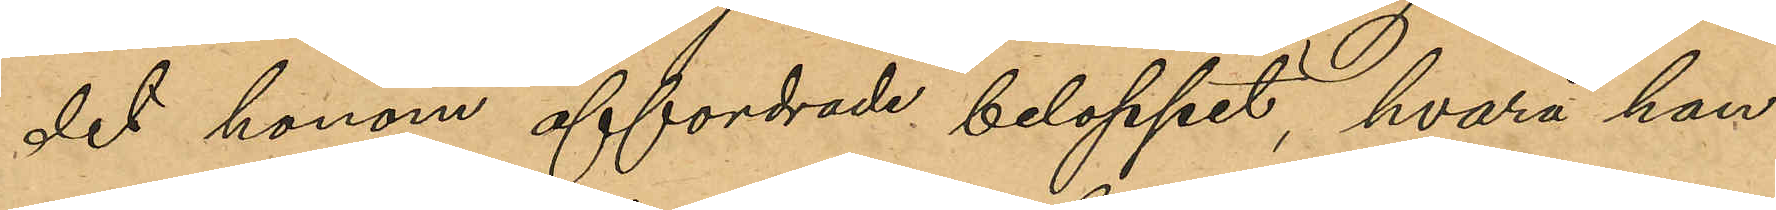det honom affordrade beloppet, hvarå han
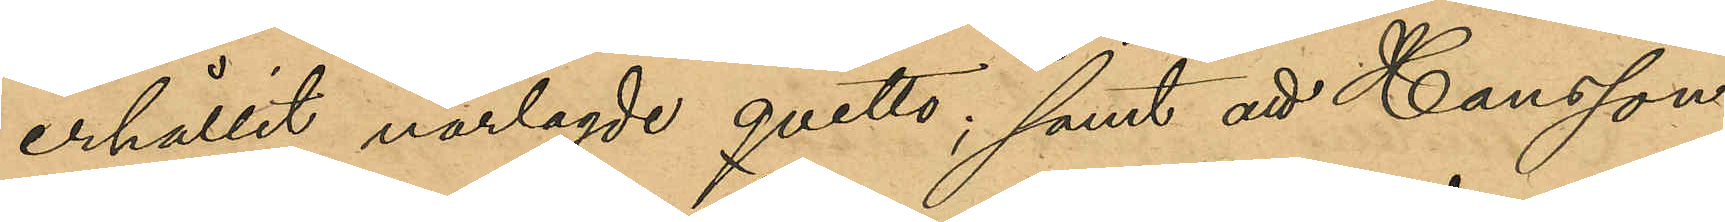erhållit närlagde qvitto, samt att Hansson
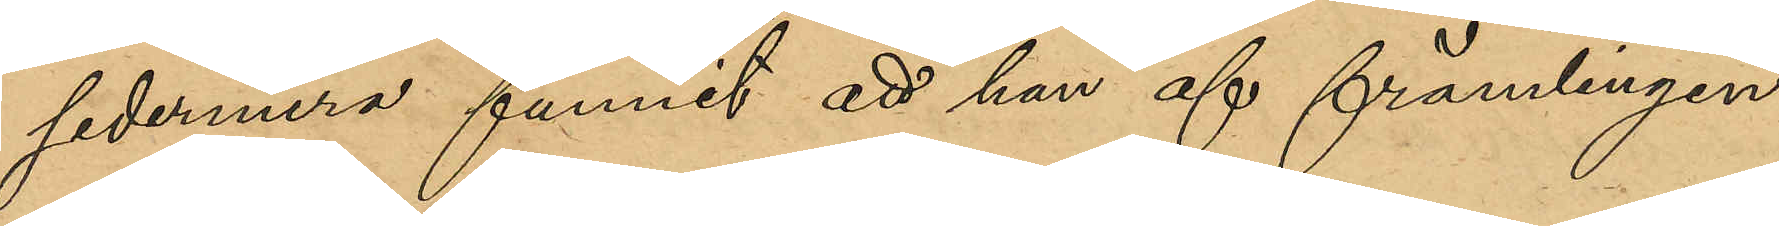sedermera funnit att han af främlingen
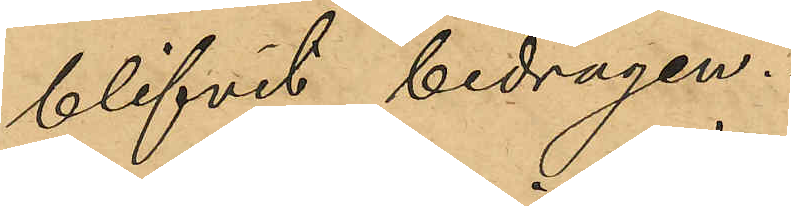blifvit bedragen.
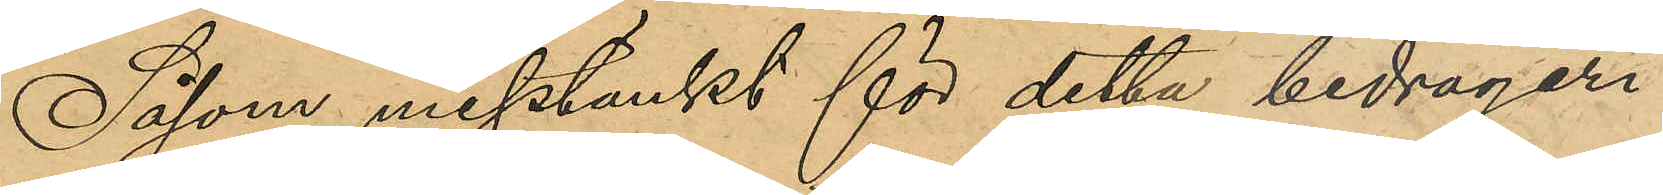Såsom misstänkt för detta bedrägeri
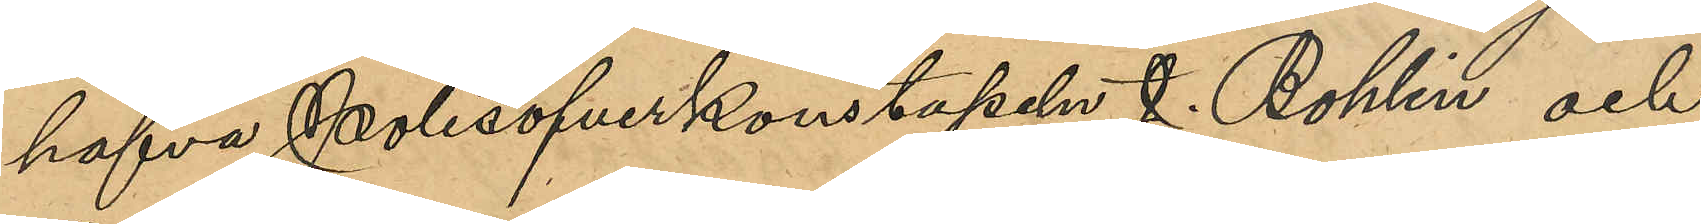hafva Polisöfverkonstapeln J. Bohlin och
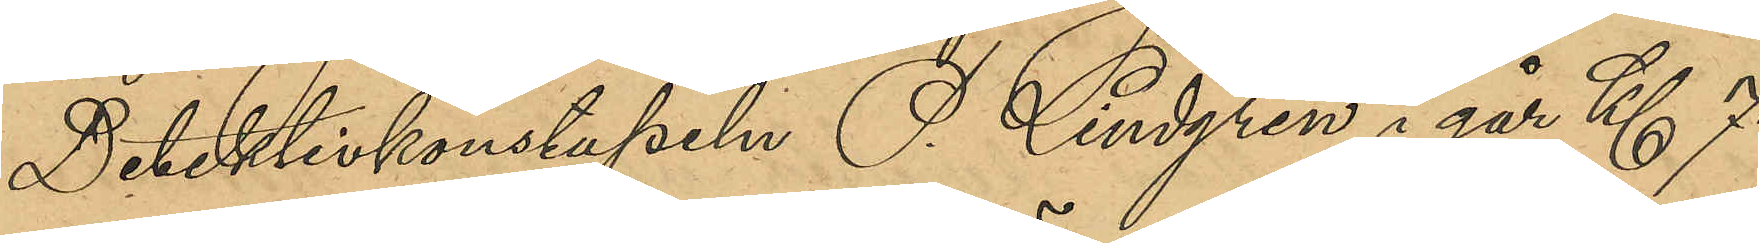Detektivkonstapeln P. Lindgren i går Kl 7
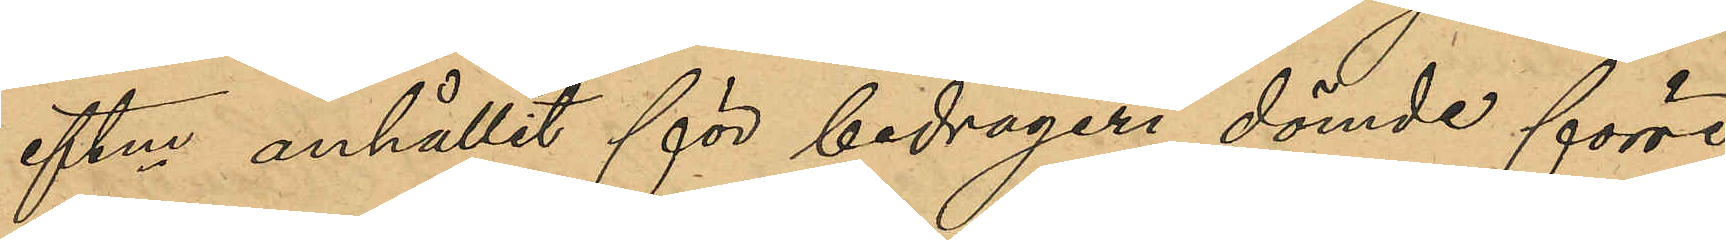eftm anhållit för bedrägeri dömde förre
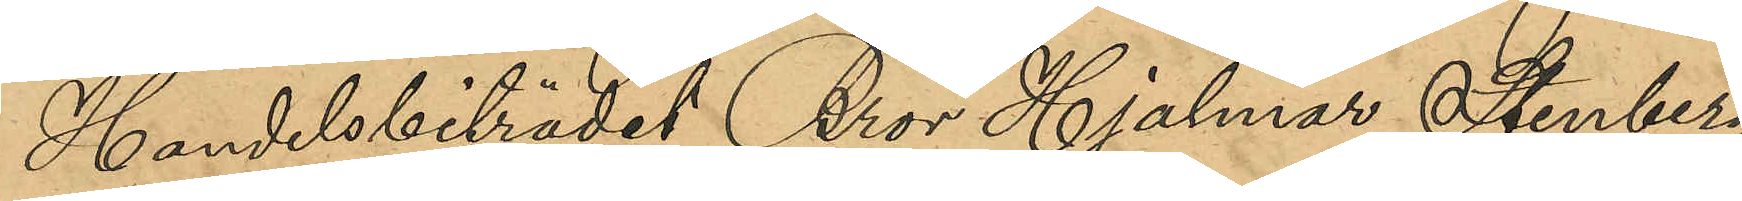Handelsbiträdet Bror Hjalmar Stenberg
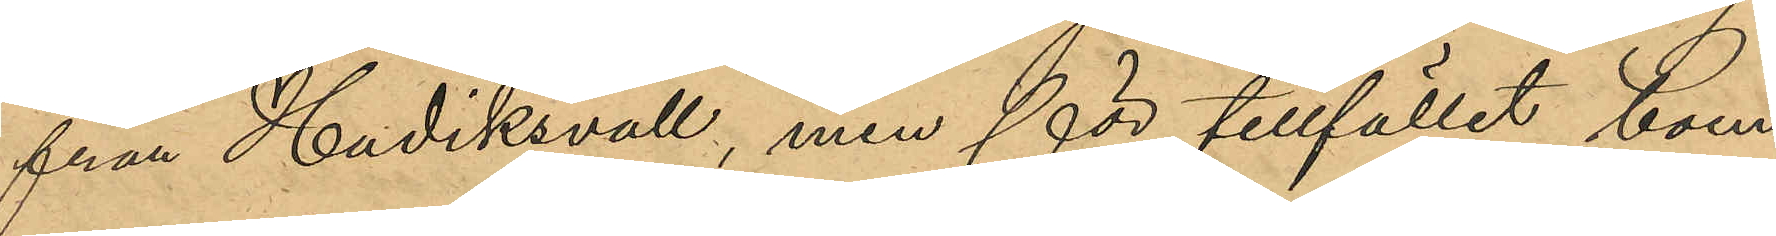från Hudiksvall, men för tillfället boen¬
